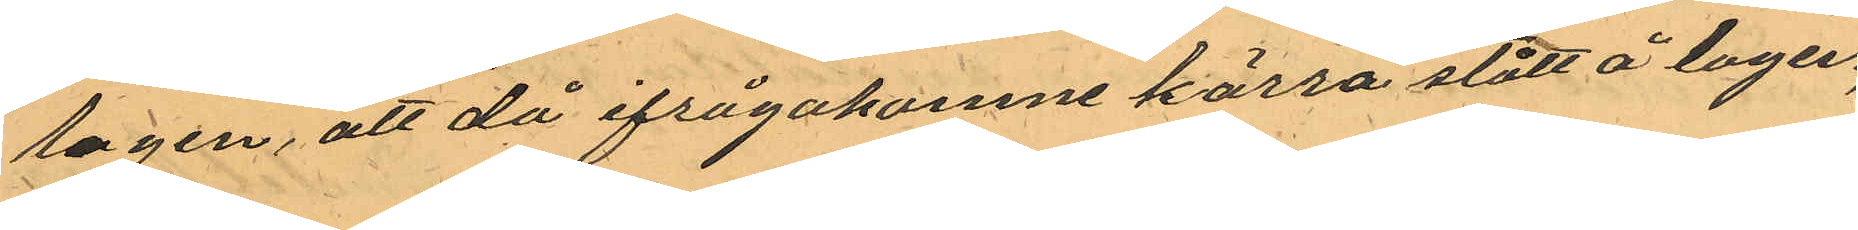logen, att då ifrågakomne kärra stått å logen,
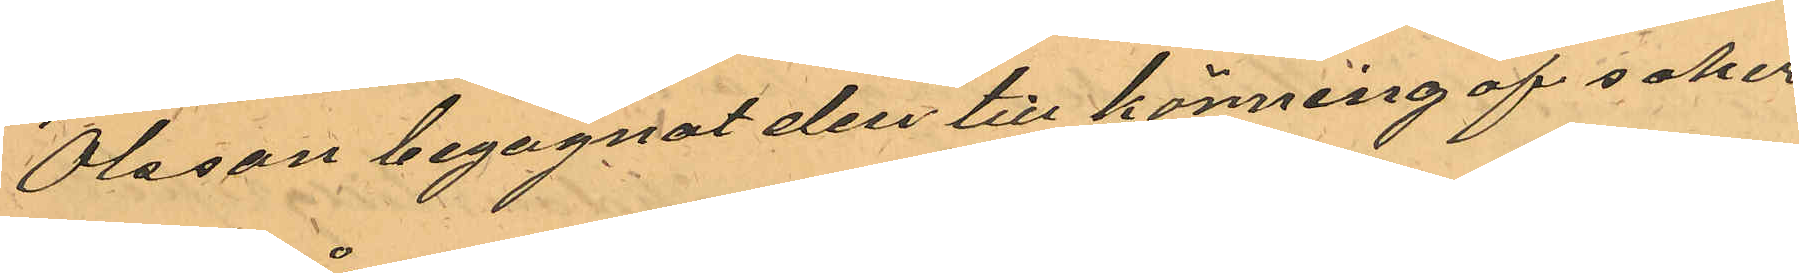Olsson begagnat den till körning af saker
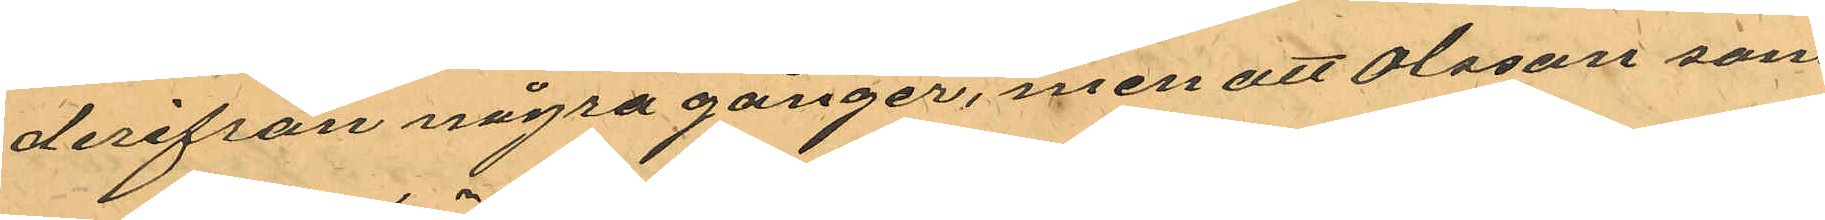derifrån några gånger, men att Olsson som
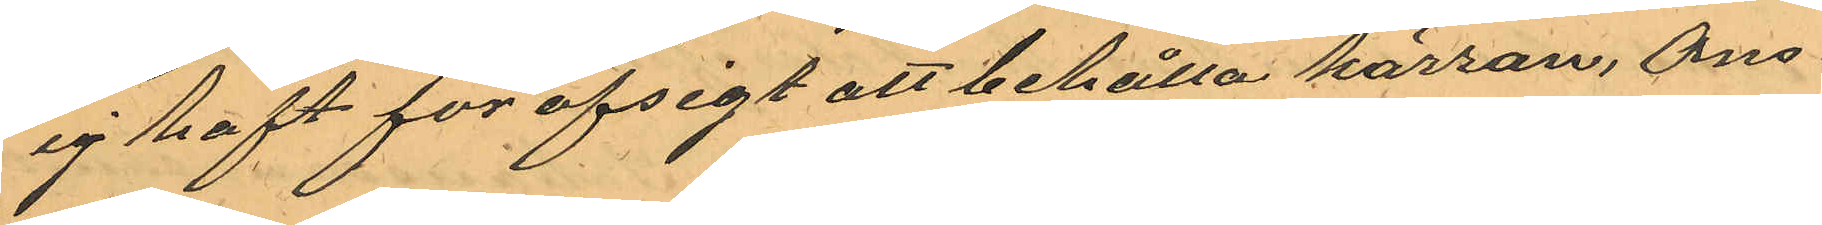ej haft för afsigt att behålla kärran, Ons¬
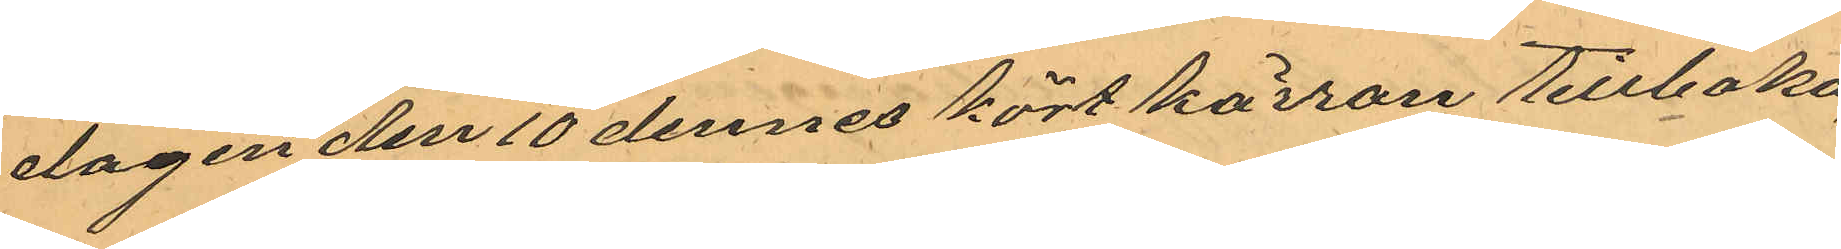dagen den 10 dennes kört kärran tillbaka,
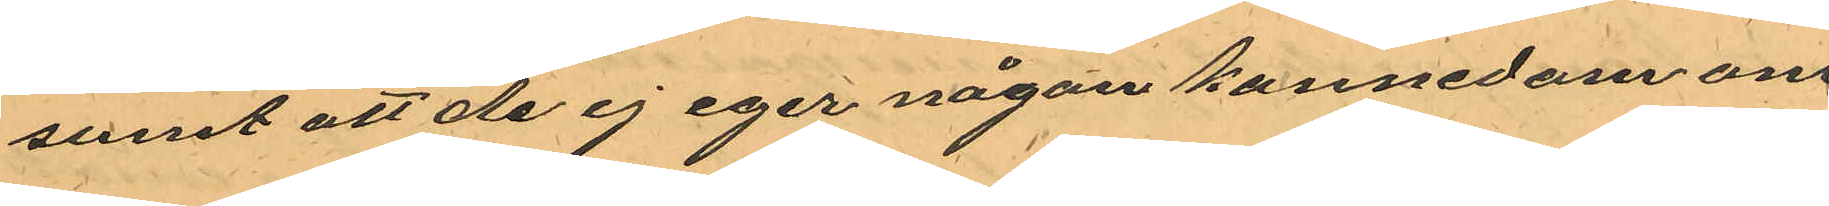samt att de ej eger någon kännedom om 
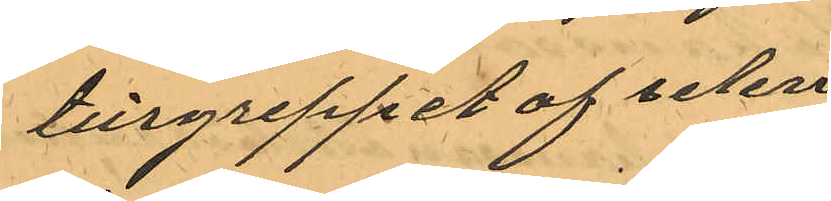tillgreppet af selen.
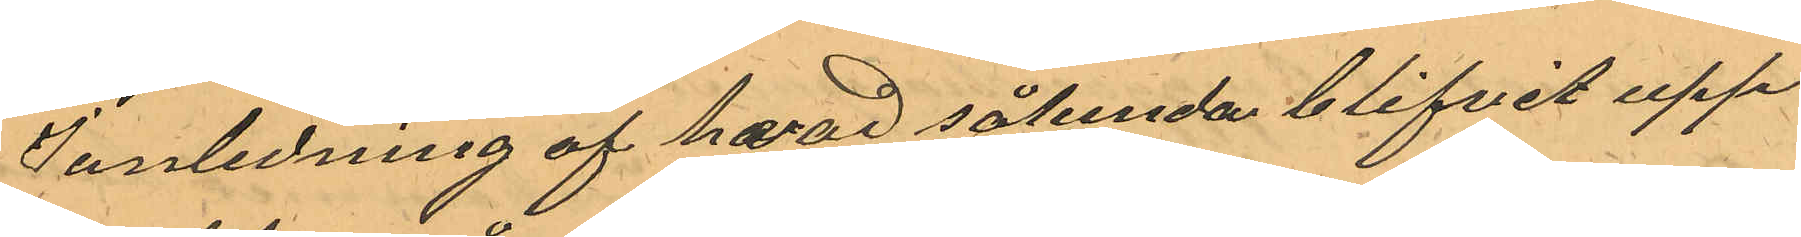I anledning af hvad sålunda blifvit upp¬
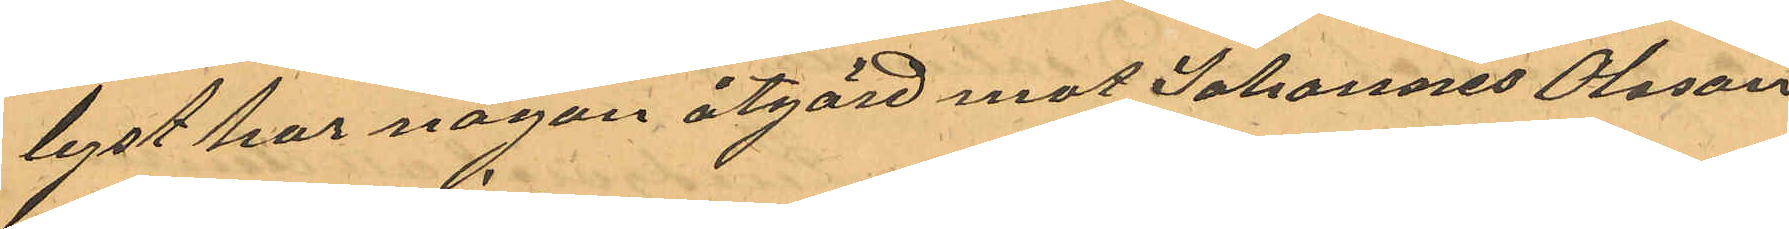lyst har någon åtgärd mot Johannes Olsson
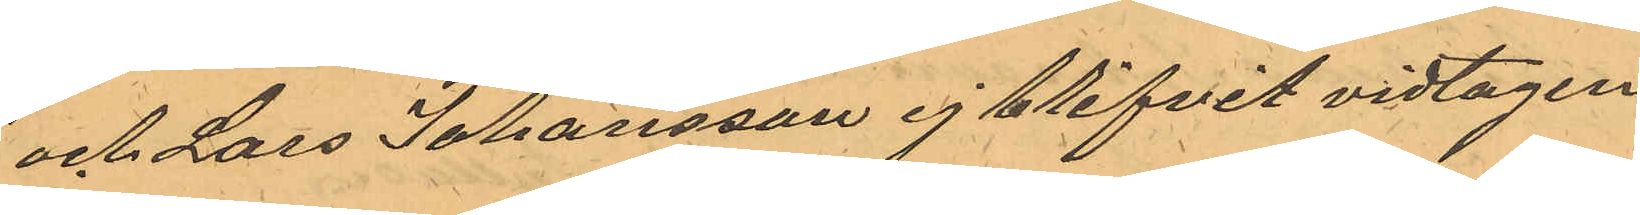och Lars Johansson ej blifvit vidtagen
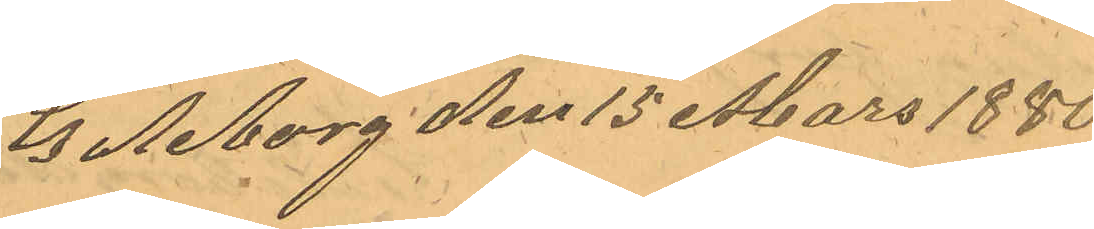Göteborg den 15 Mars 1880
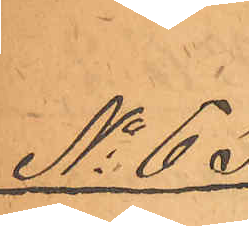No 63.
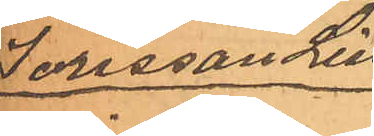Jansson Lind¬
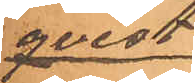qvist
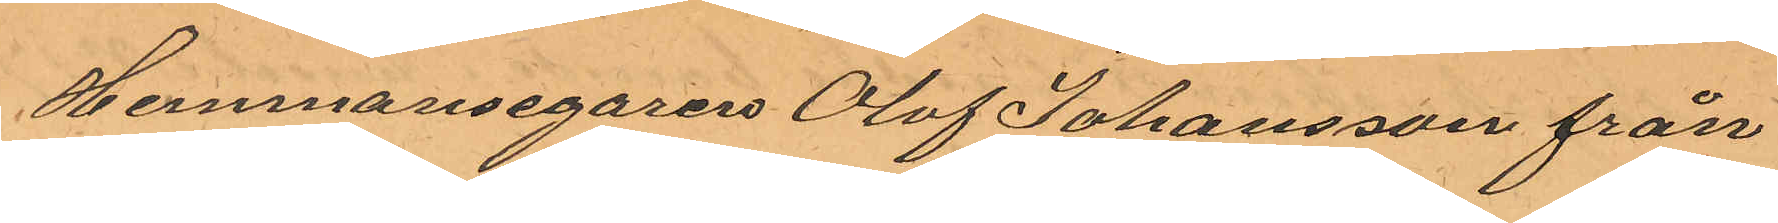Hemmansegaren Olof Johansson från 
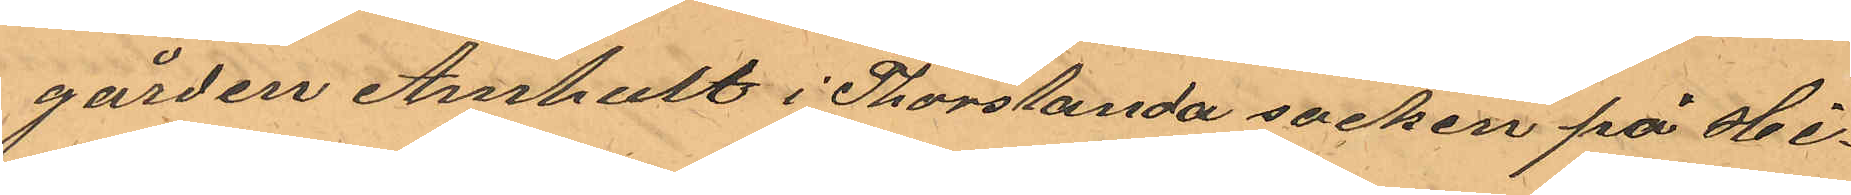gården Amhult i Thorslanda socken på Hi¬
